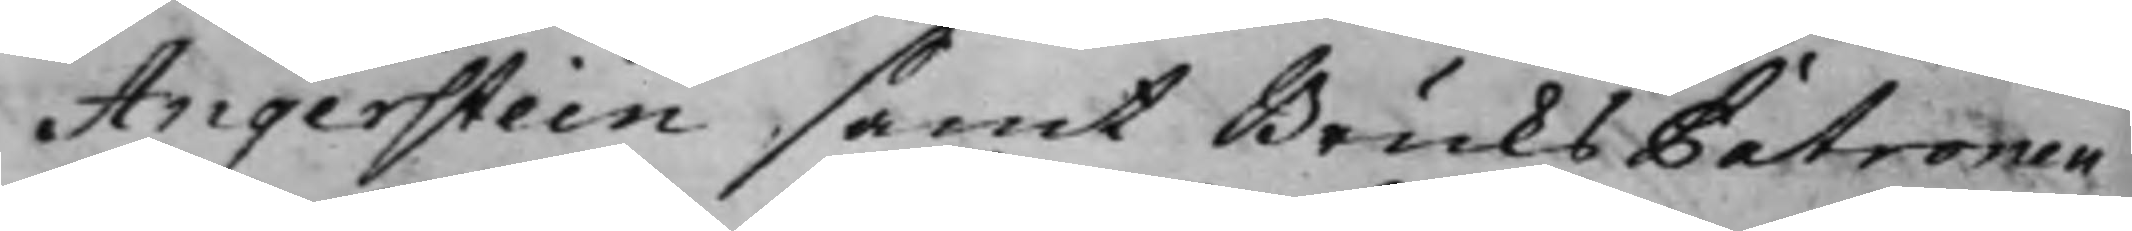Angerstien samt BruksPatronen
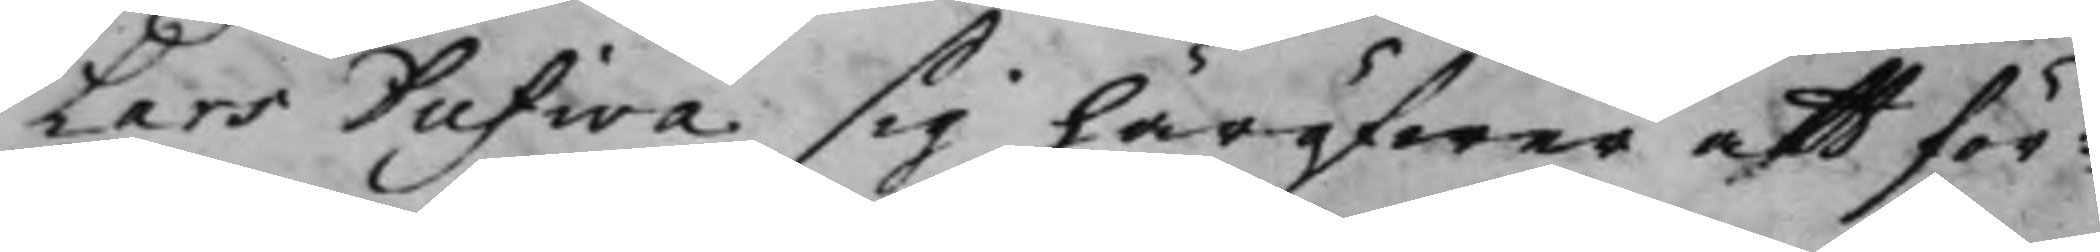Lars Dufwa sig häröfwer att för¬
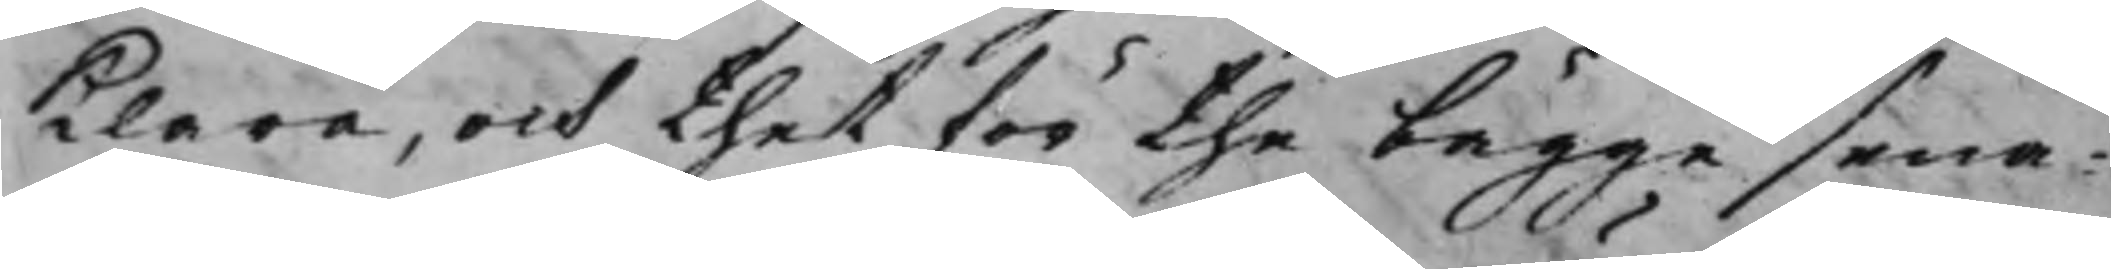klara, och thet för the bägge sena¬
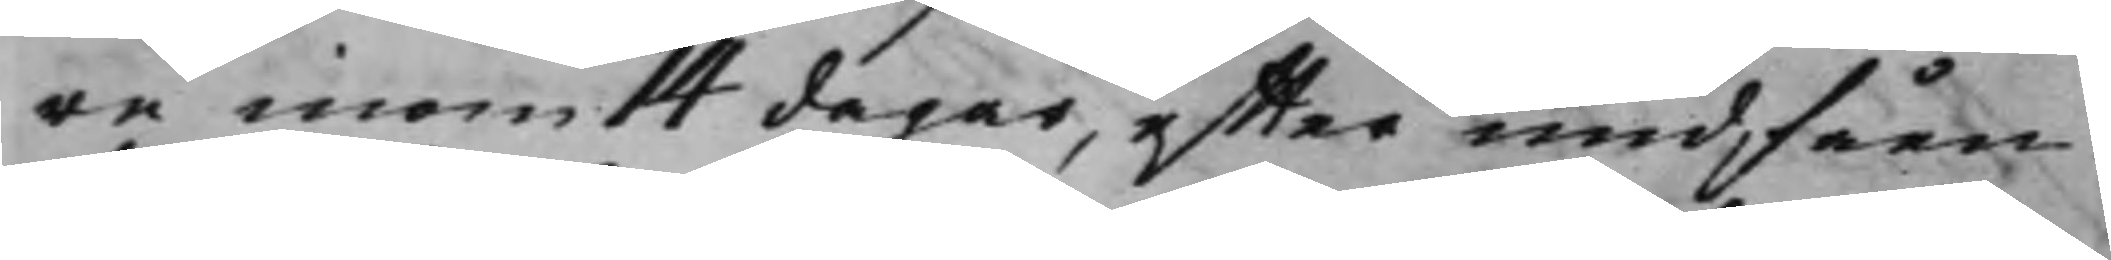re inom 14 dagar, effter undfåen¬
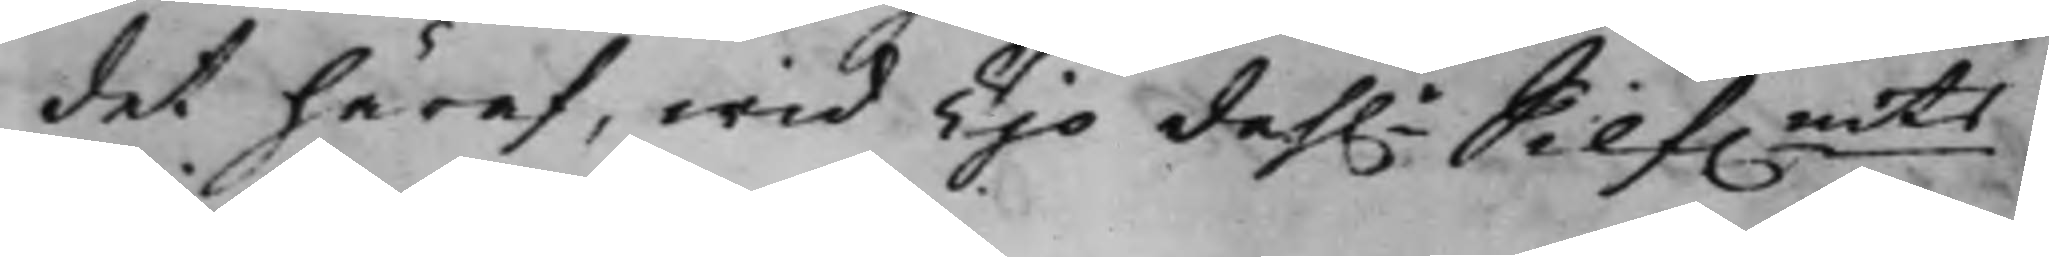det häraf, wid Tijo dah.r Silf.mts
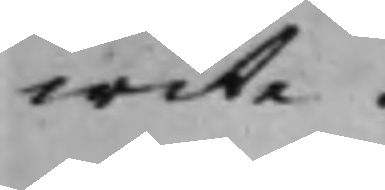wite.
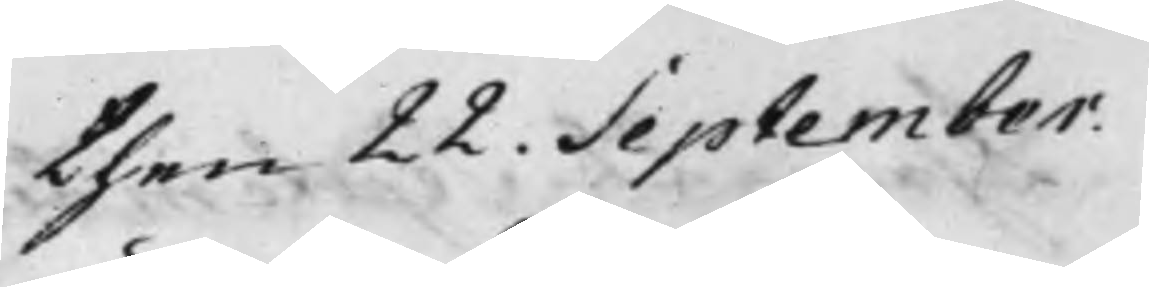den 22. September.
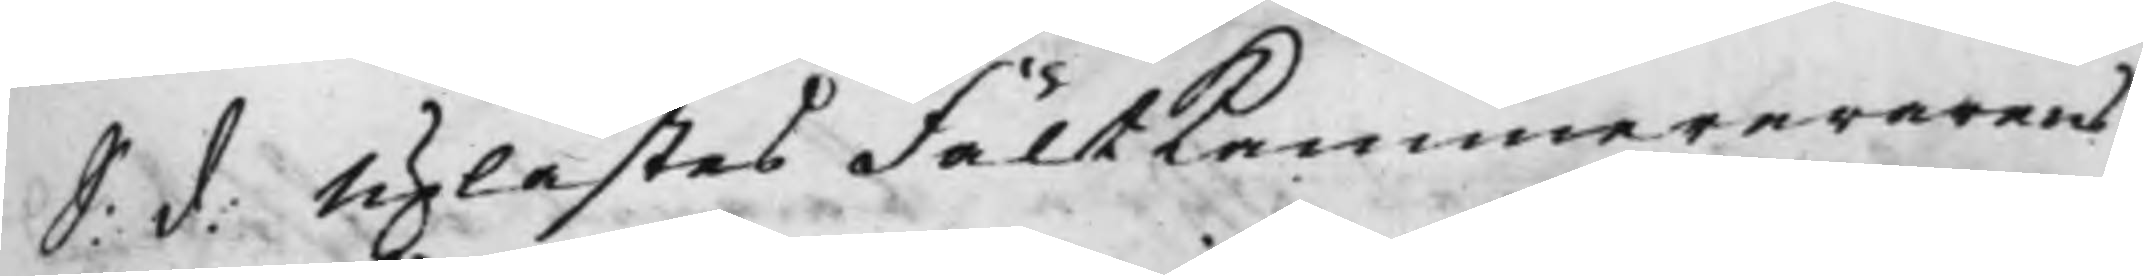S: d: Uplästes FältKammererarens
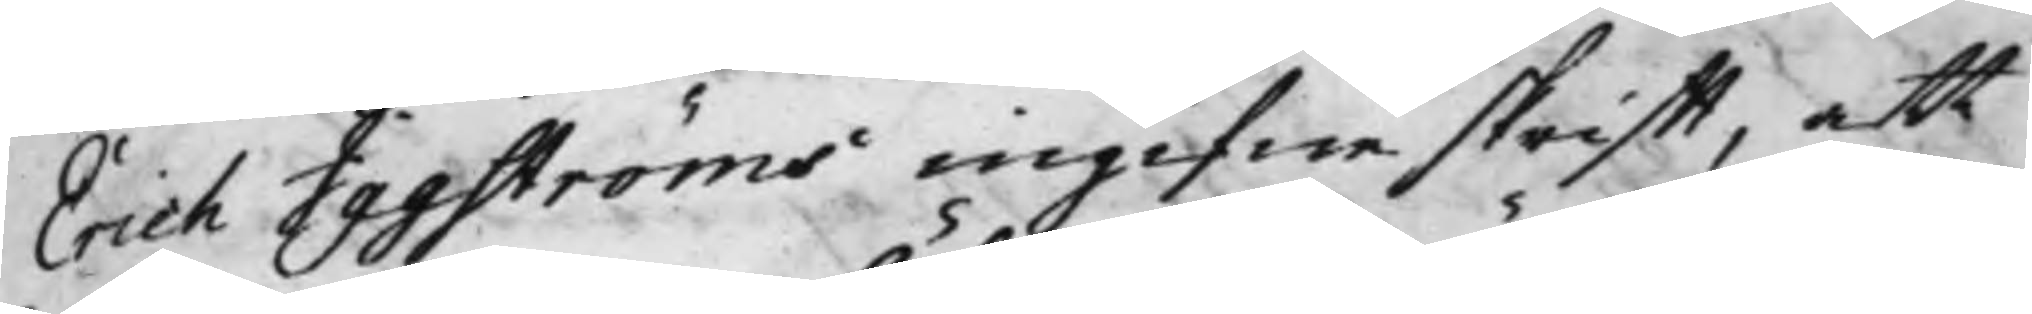Erich Iggströms ingifne skrifft, att
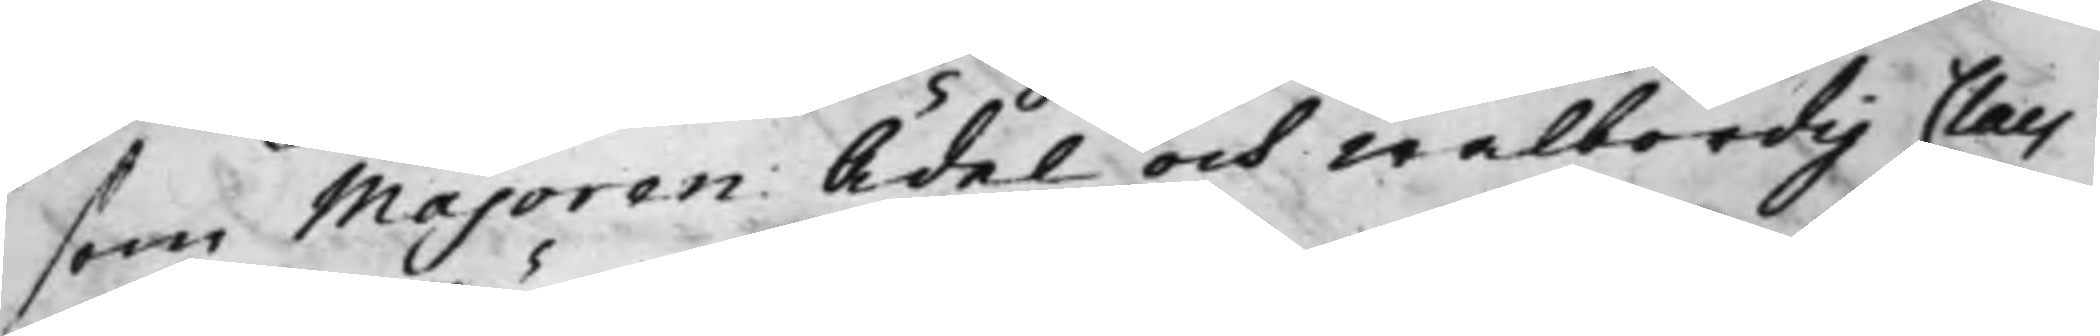som Majoren Ädel och Wälbördig Claes
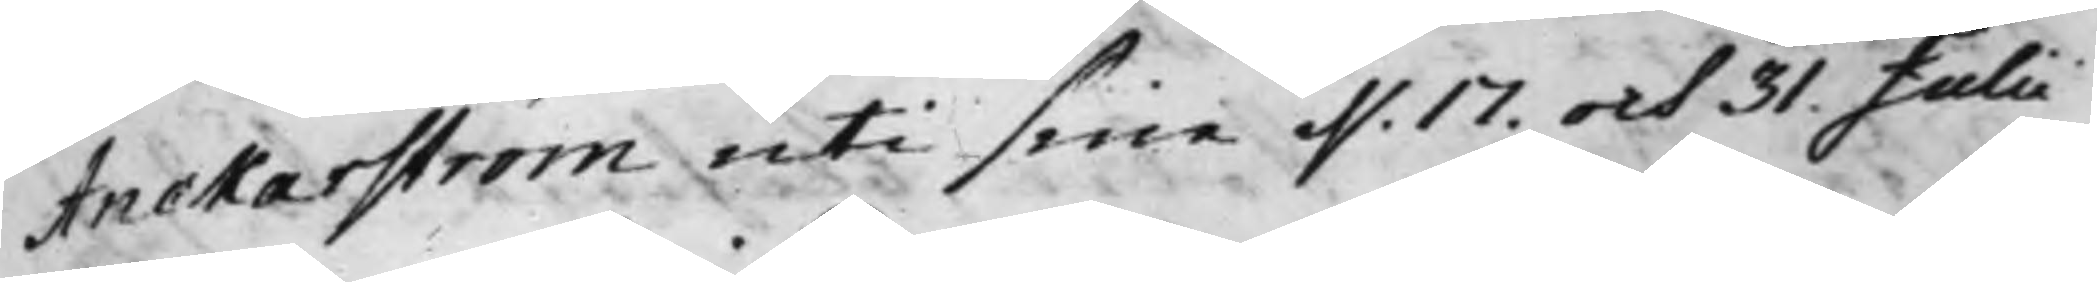Anckarström uti sine d. 17. och 31. Julii
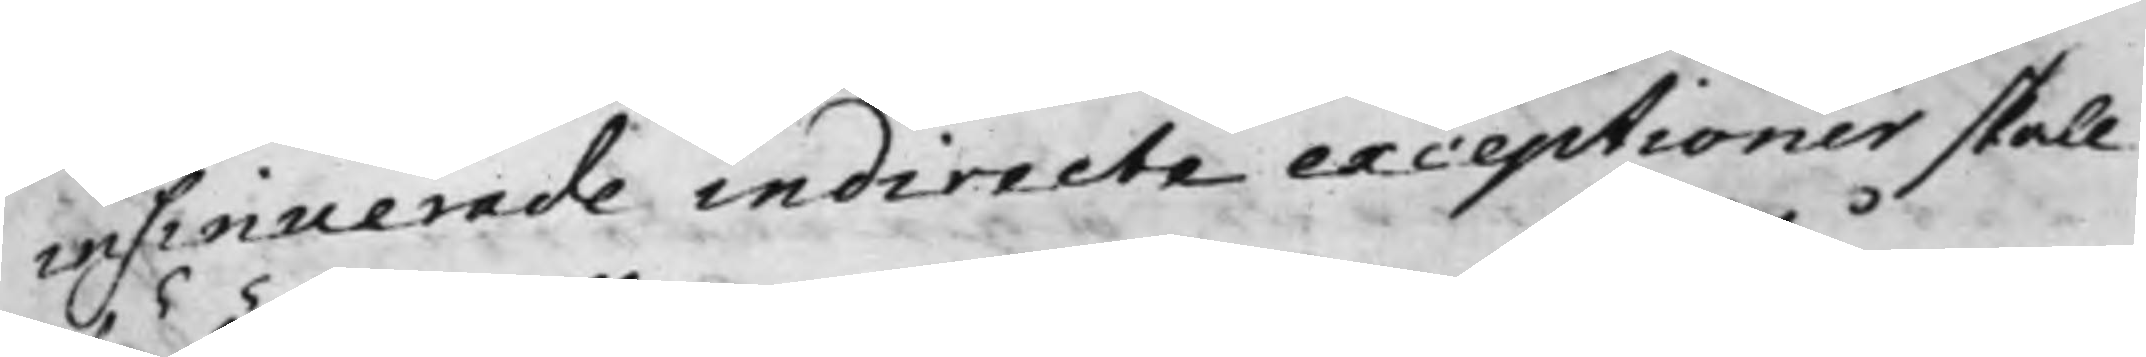insinuerade indirecte exceptioner skall
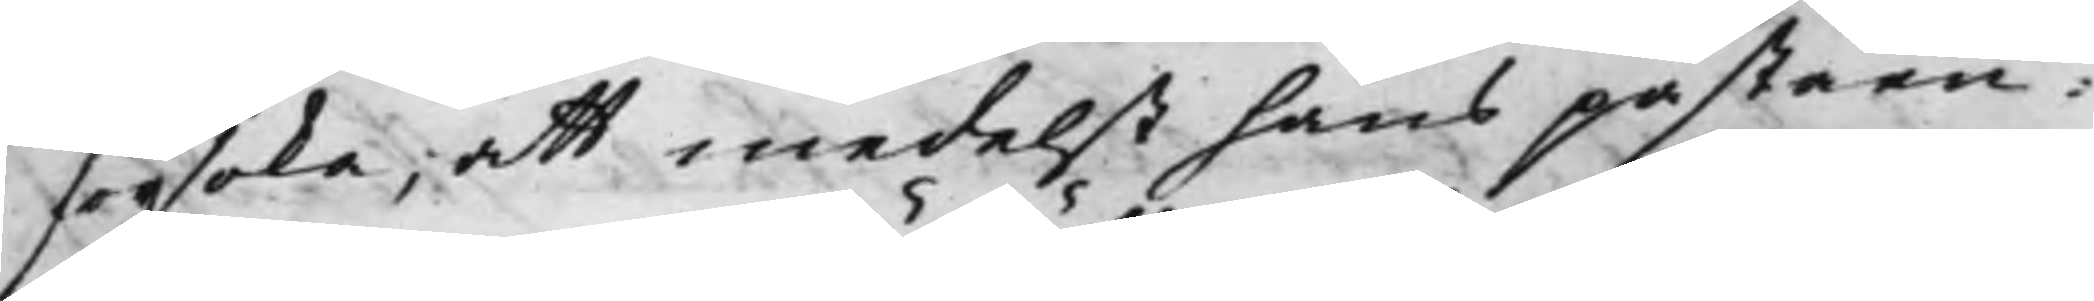försöka; att medelst hans påståen¬
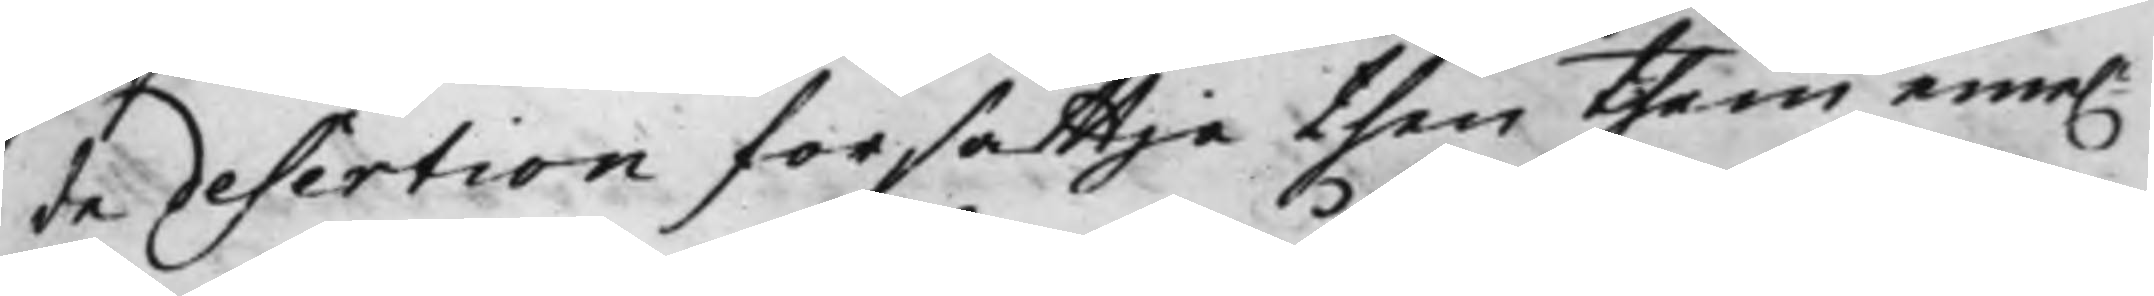de desertion försättja then them eme.
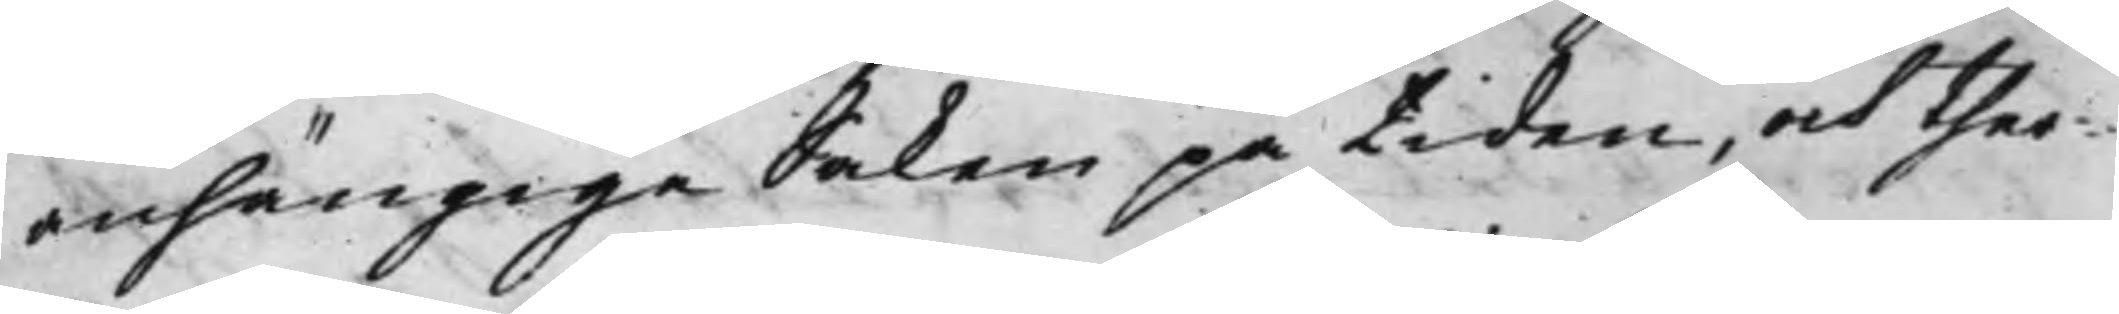anhängige Saken på tiden, och ther¬
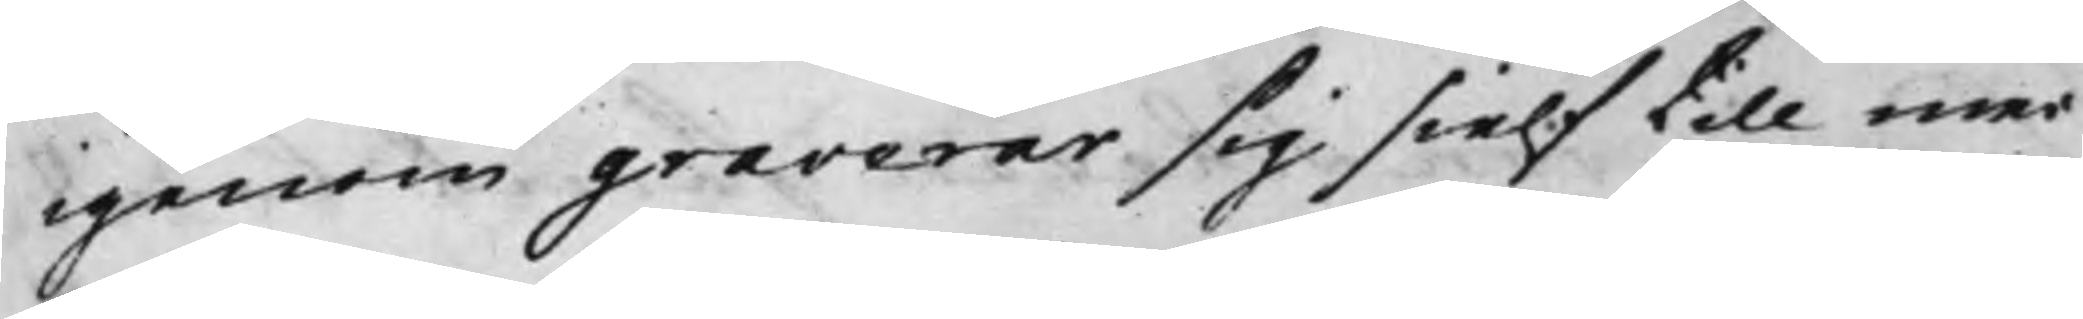igenom graverar sig sielf till mer
